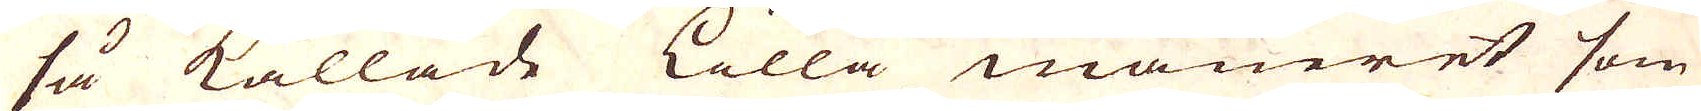så kallade Lilla maneret som
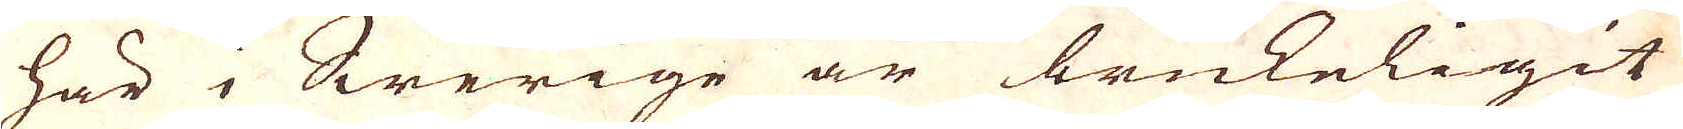här i Swerige är brukeligit
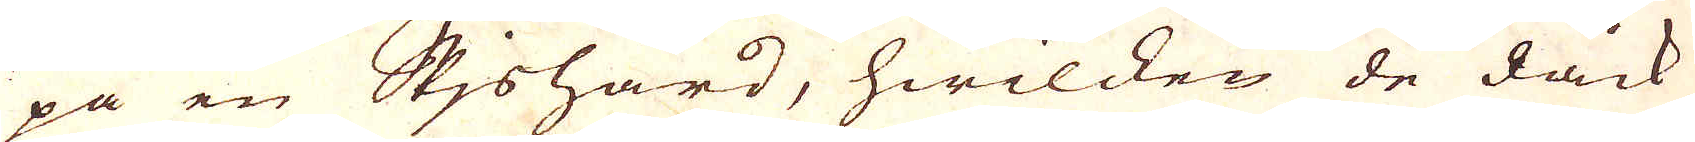pa en Skishärd, hwilcken de dåck
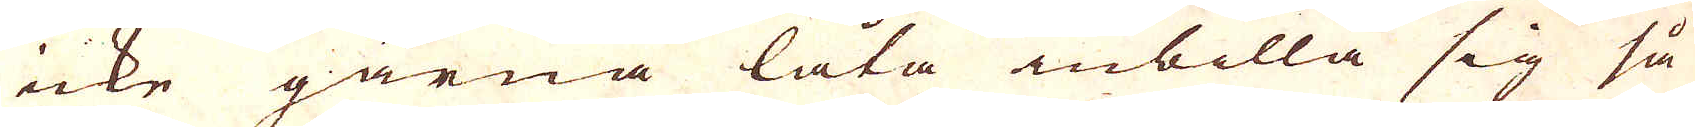icke gärna låta inbilla sig så
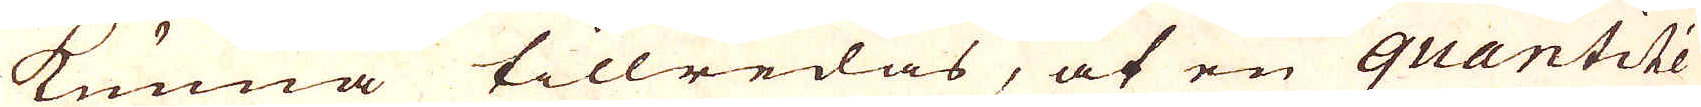kunna tillredas, af en quantité
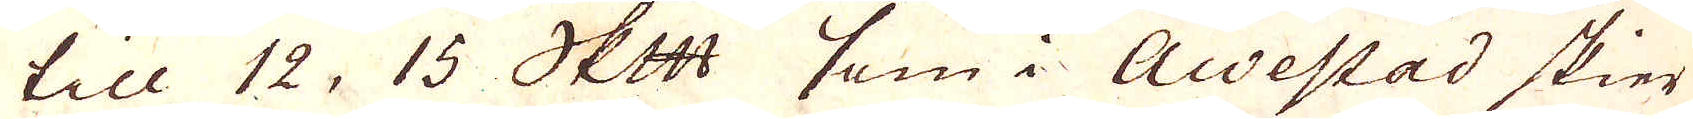till 12, 15 skeppund som i Awestad skier
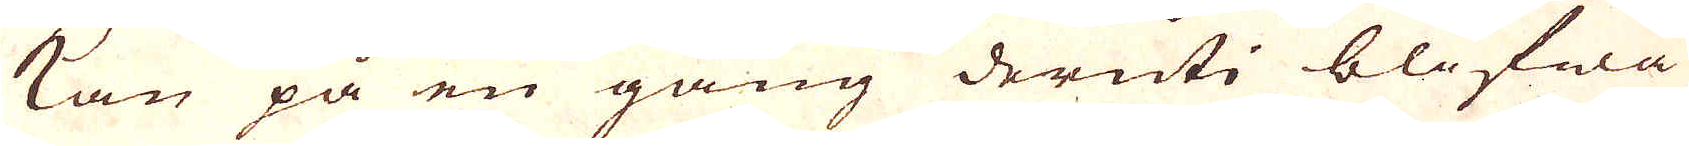kan på en gång deruti blifwa
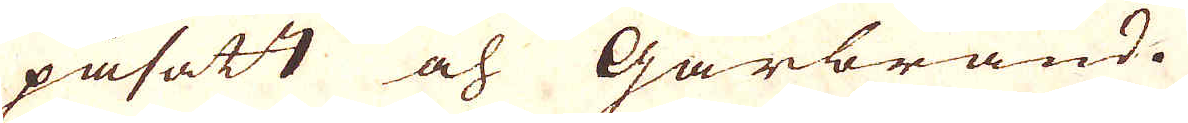påsatt och Gårbränd.
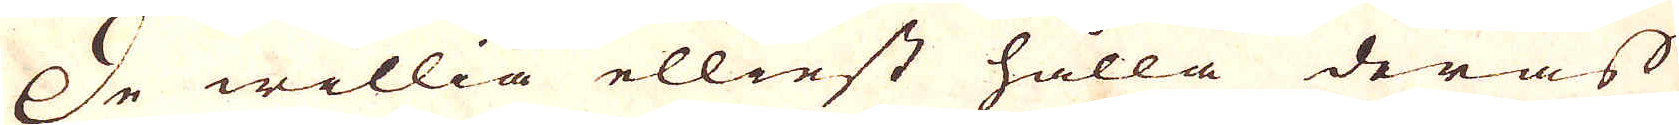De willia elliest hålla deras
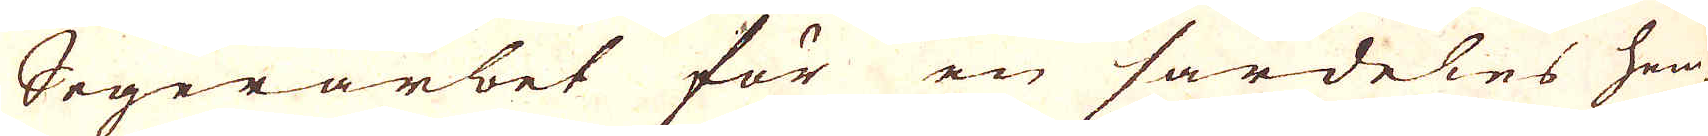Segerarbet för en särdeles hem-
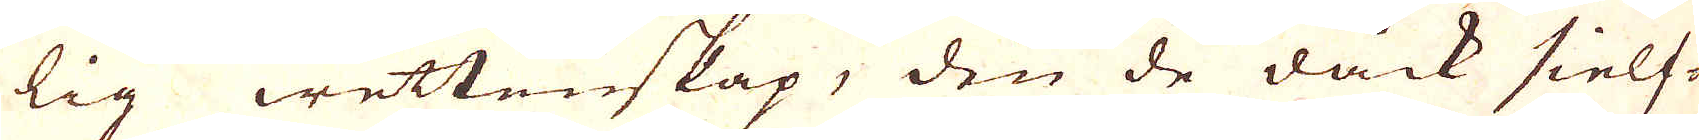lig wettenskap, den de dåck sielf-
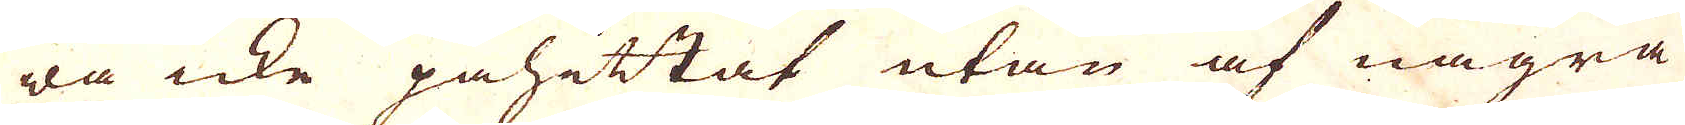wa icke påhittat utan af några
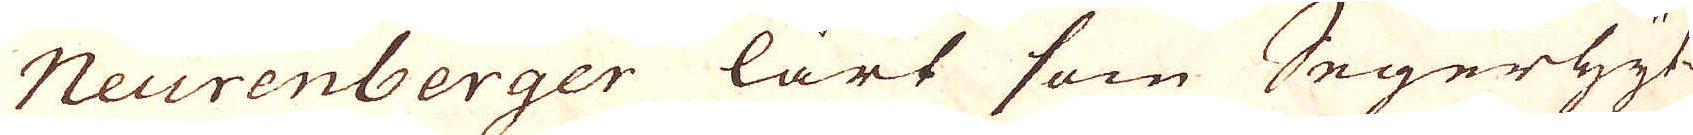Neurenberger lärt som Segerhyt-
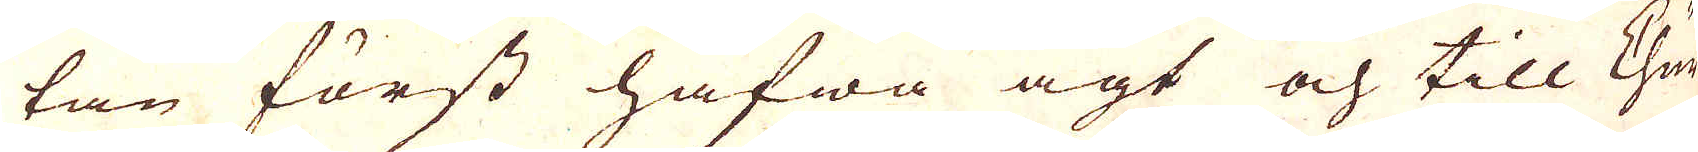tan först hafwa ägt och till Chur-
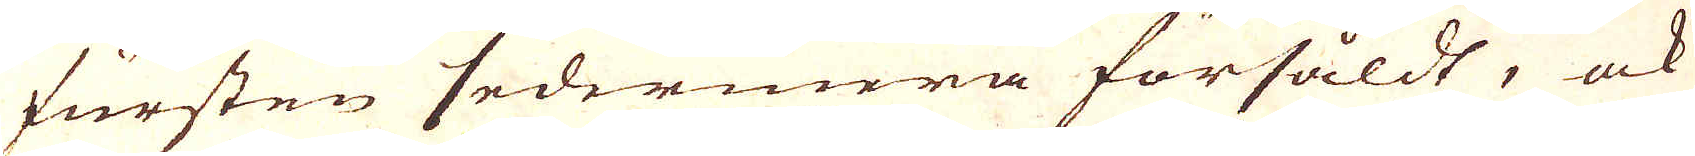fursten sedermera försåldt, ock
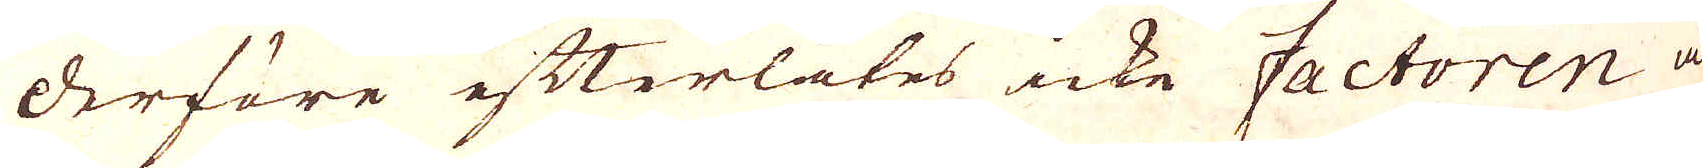derföre efterlåtes icke Factoren at
